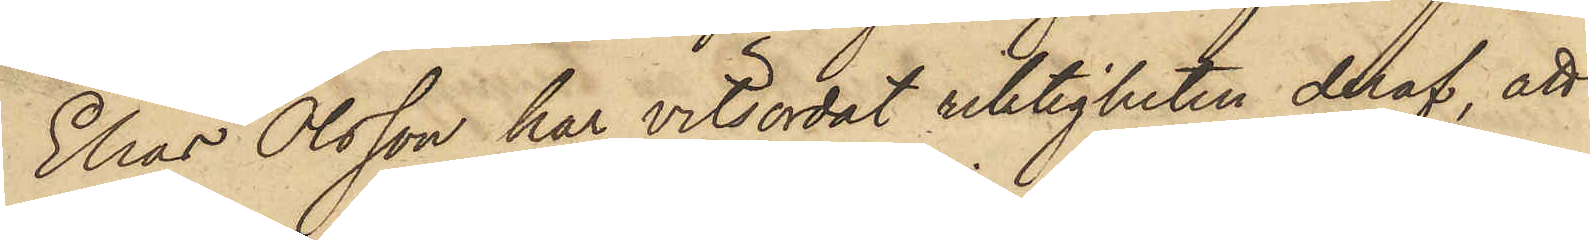Elias Olsson har vitsordat riktigheten deraf, att
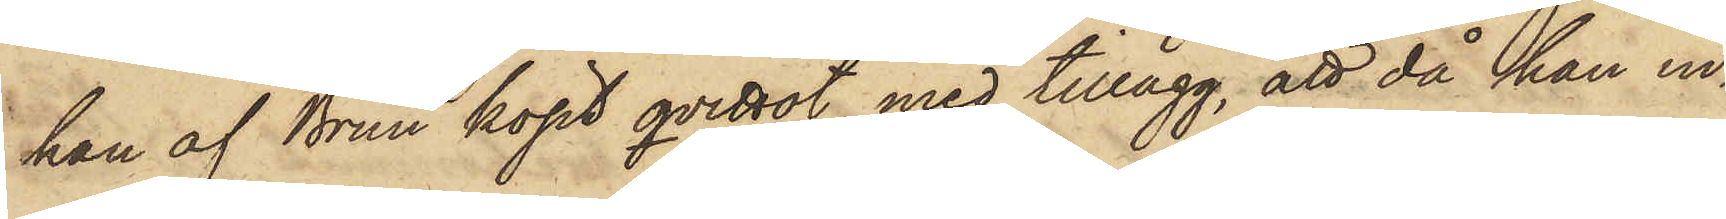han af Brun köpt qvittot, med tillägg, att då han in¬
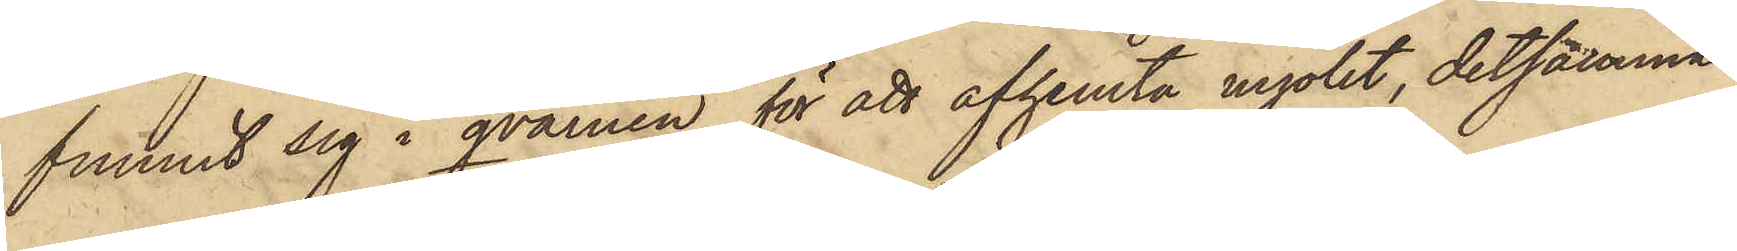funnit sig i qvarnen för att afhemta mjölet, detsamma
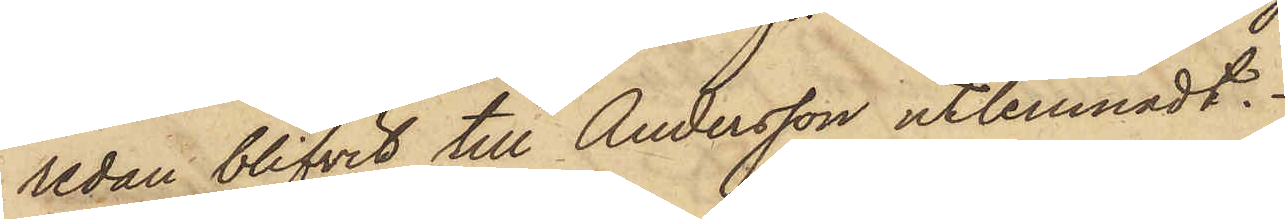redan blifvit till Andersson utlemnadt.
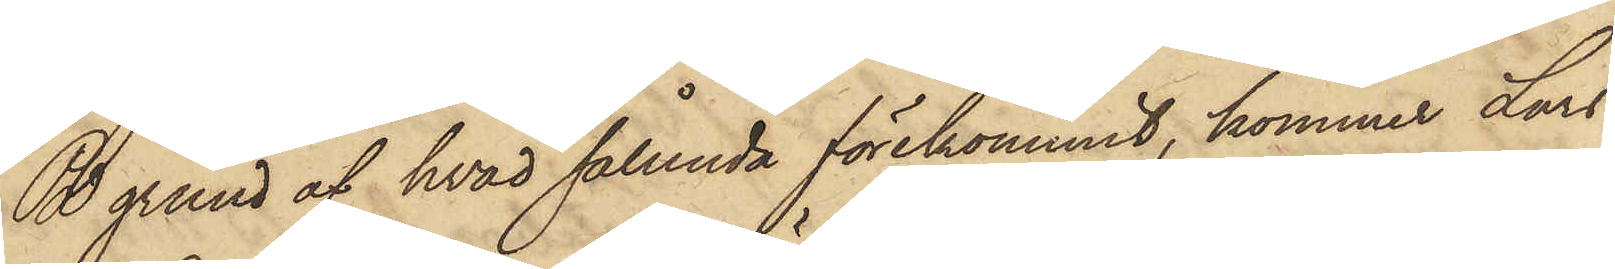På grund af hvad sålunda förekommit, kommer Lars
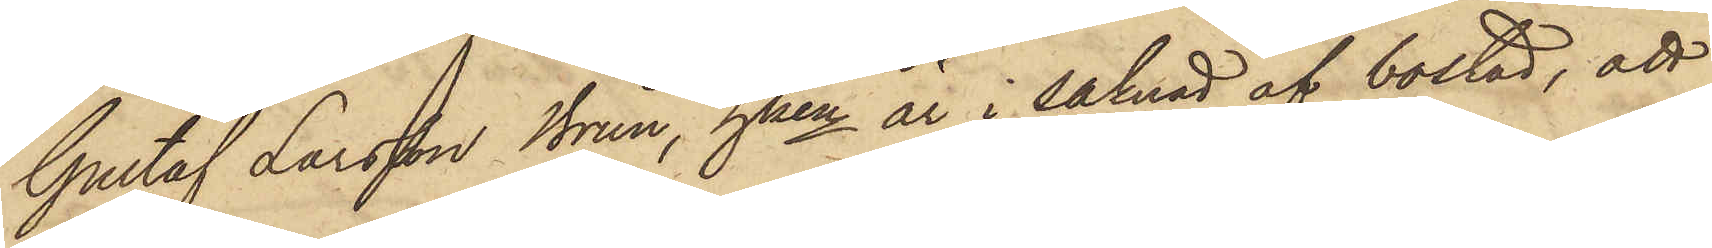Gustaf Larsson Brun, hken är i saknad af bostad, att
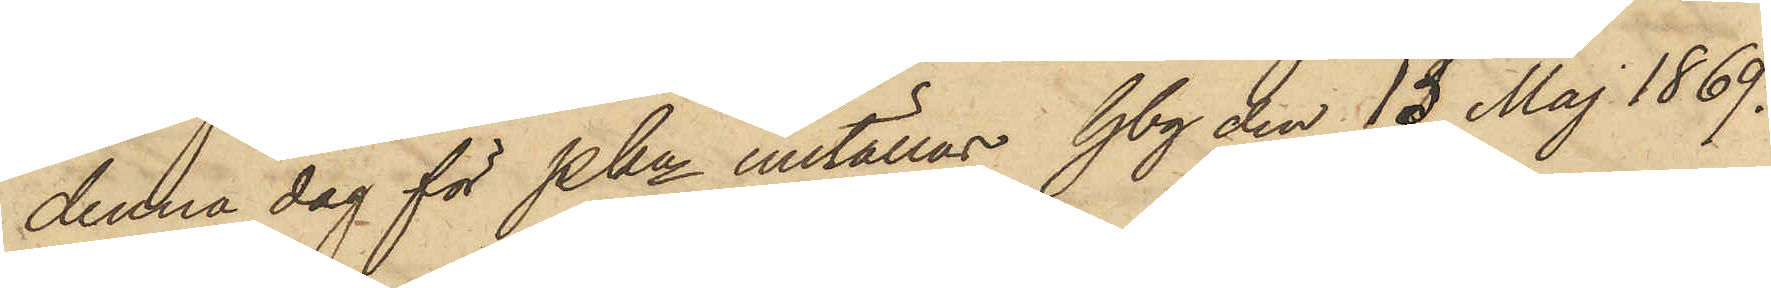denna dag för Pkn inställas. Gbg den 13 Maj 1869.
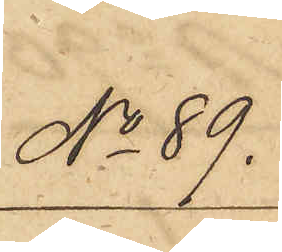No 89.
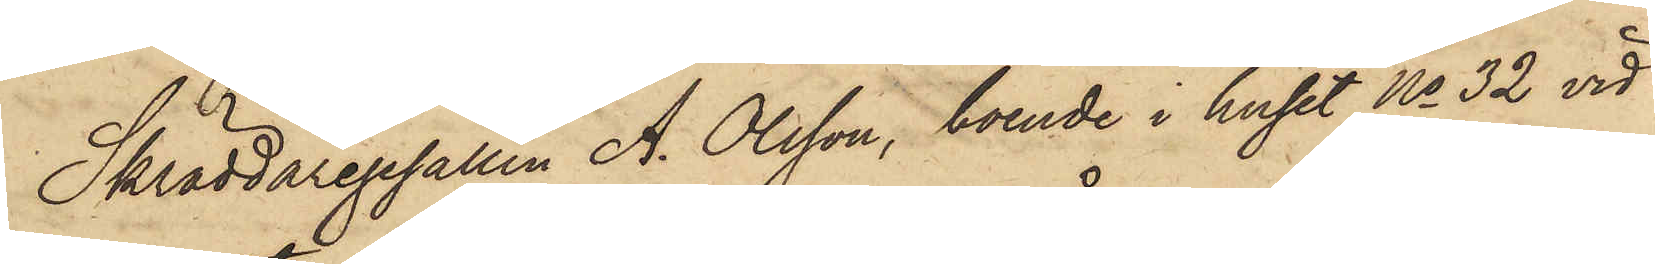Skräddaregesällen A. Olsson, boende i huset No 32 vid
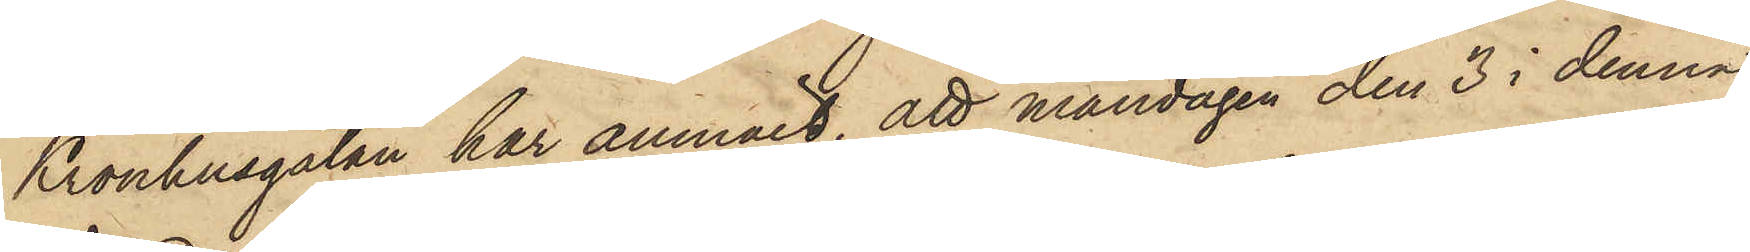Kronhusgatan har anmält, att måndagen den 3 i denna
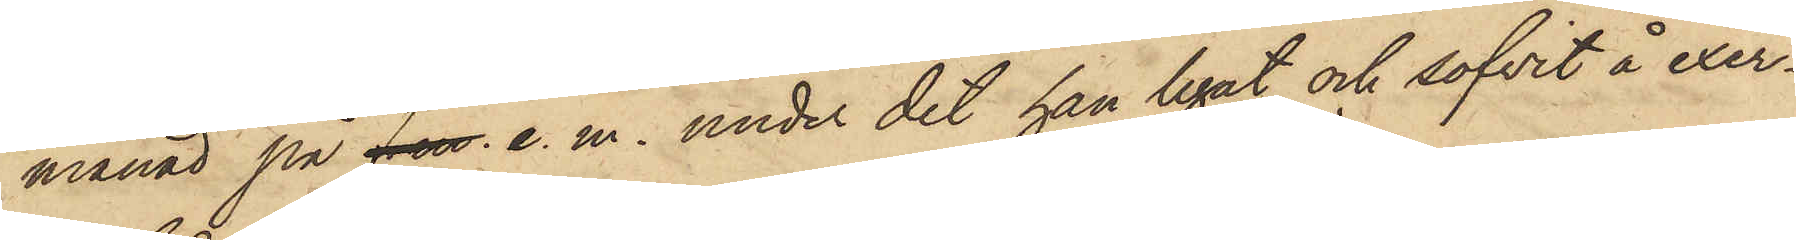månad på f. m. e. m. under det han legat och sofvit å exer¬
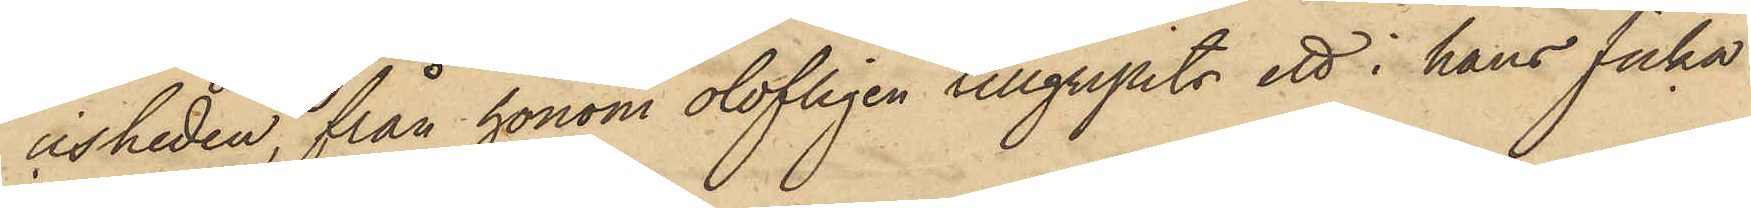cisheden, från honom olofligen tillgripits ett i hans ficka
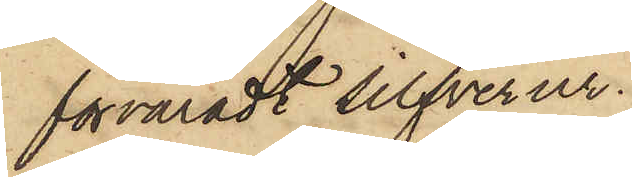förvaradt silfverur.
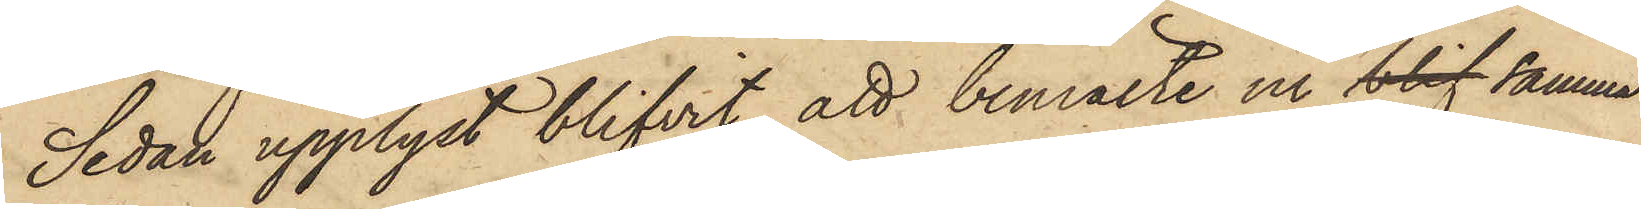Sedan upplyst blifvit, att bemälte ur blif samma
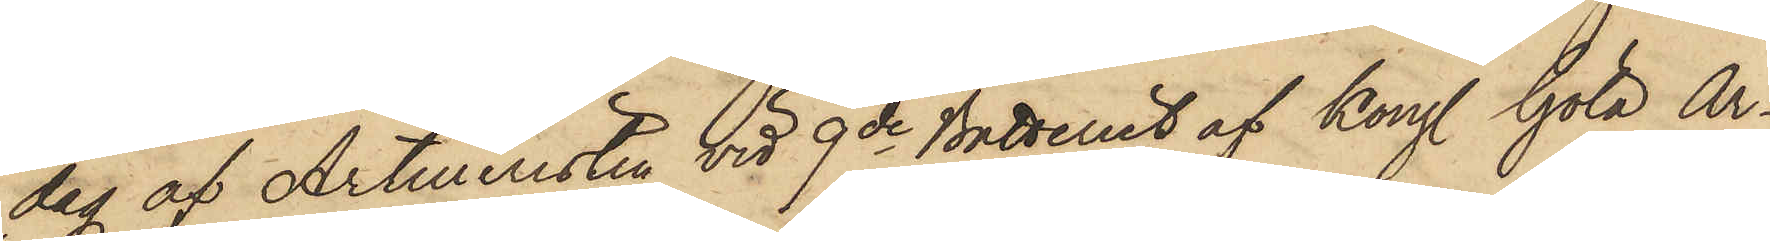dag af Artilleristen vid 9de Batteriet af Kongl. Göta Ar¬
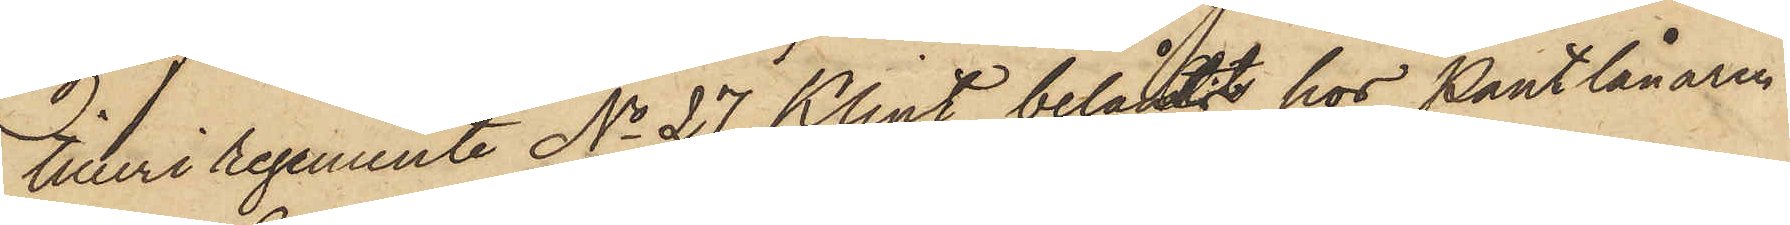tilleri regemente No 27 Klint belånats hos Pantlånaren
